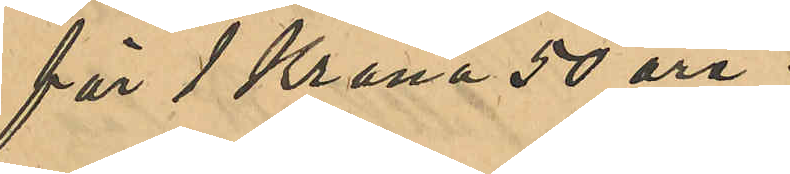för 1 Krona 50 öre.
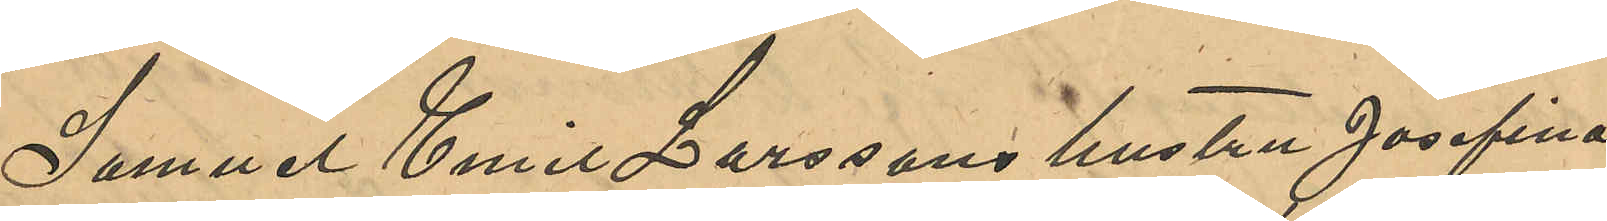Samuel Emil Larssons hustru Josefina
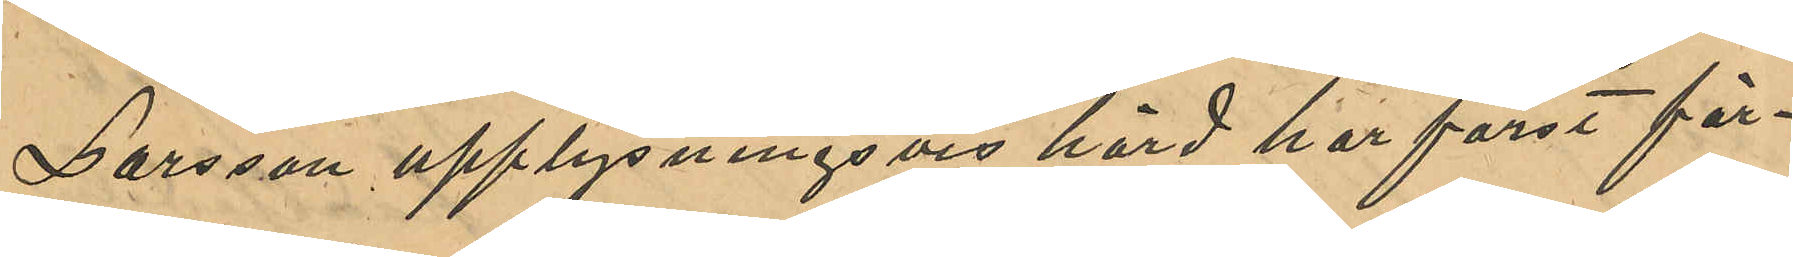Larsson upplysningsvis hörd har först för¬
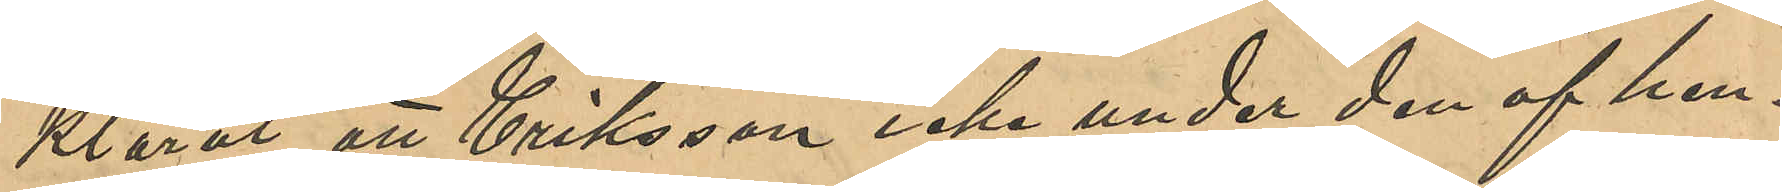klarat att Eriksson icke under den af hen¬
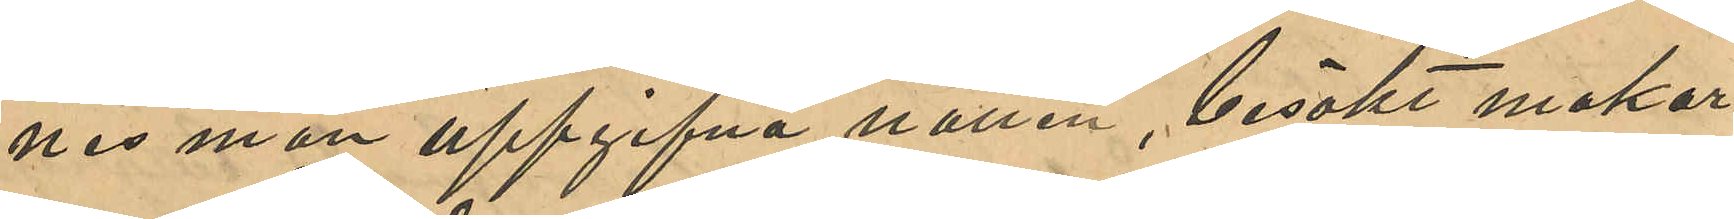nes man uppgifvna natten, besökt makar¬
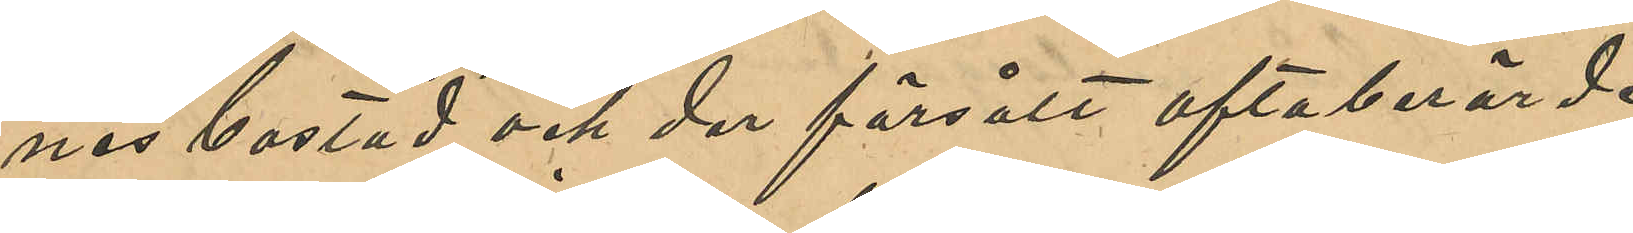nes bostad och der försålt oftaberörde
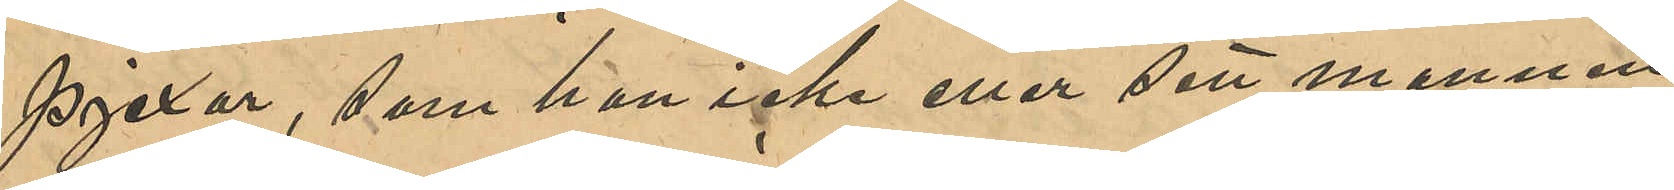pjexor, som hon icke eller sett mannen
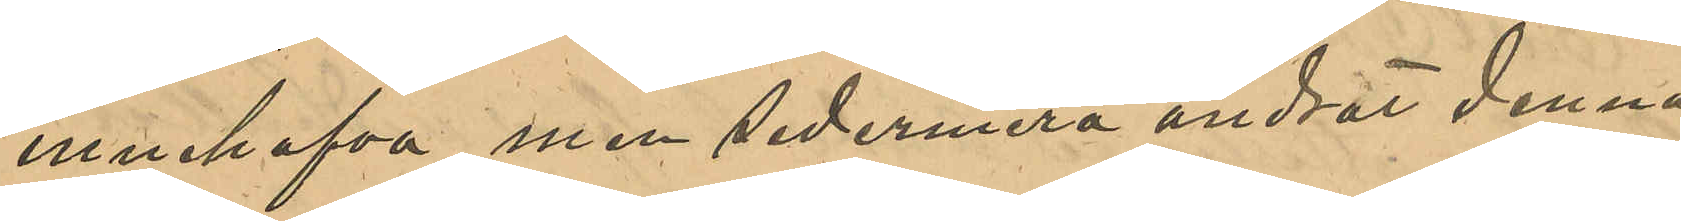innehafva, men sedermera ändrat denna
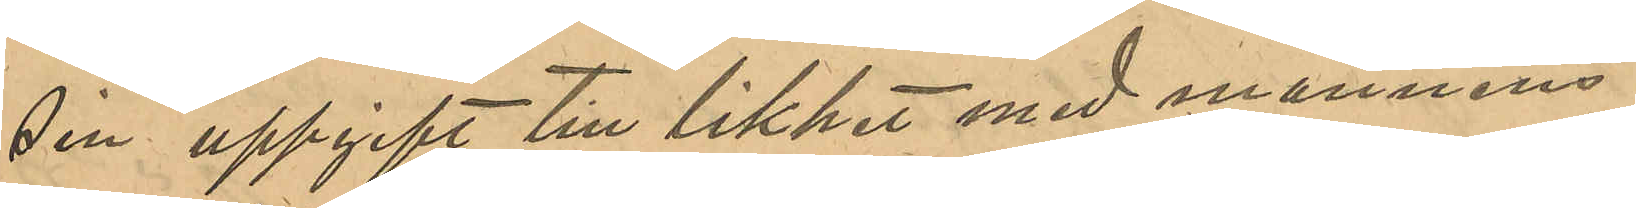sin uppgift till likhet med mannens.
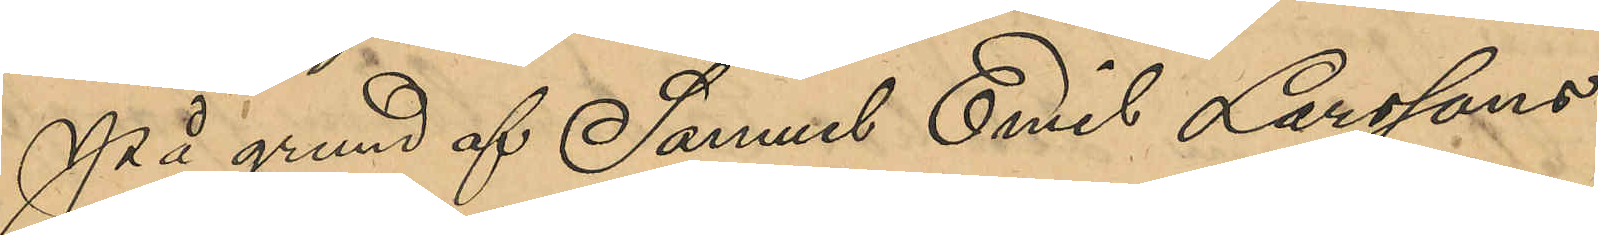På grund af Samuel Emil Larssons 
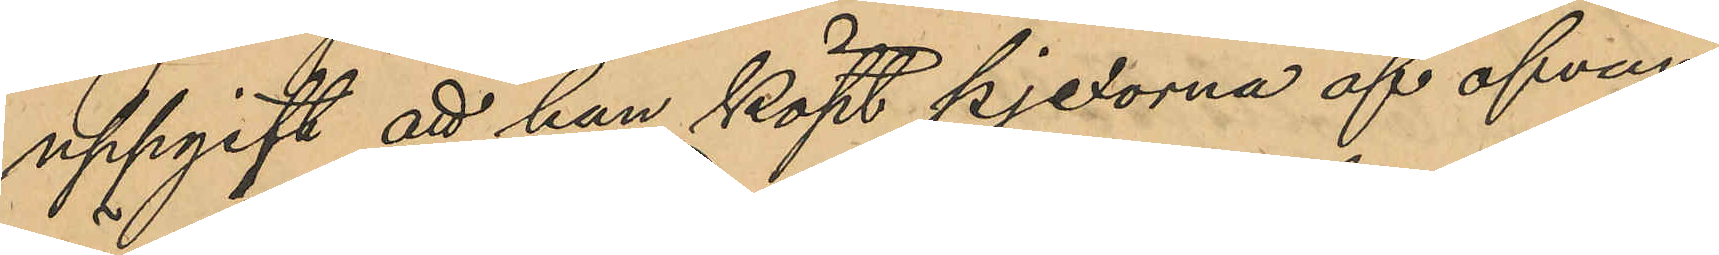uppgift att han köpt pjexorna af ofvan¬
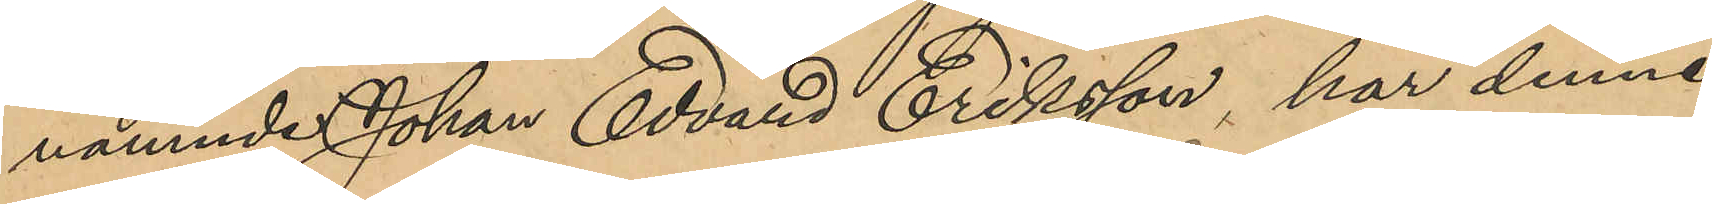nämnde Johan Edvard Eriksson, har denne
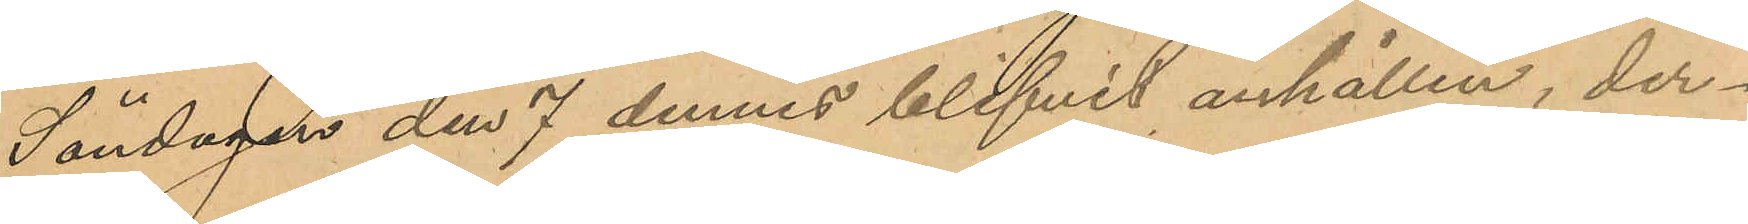Söndagen den 7 dennes blifvit anhållen, der¬
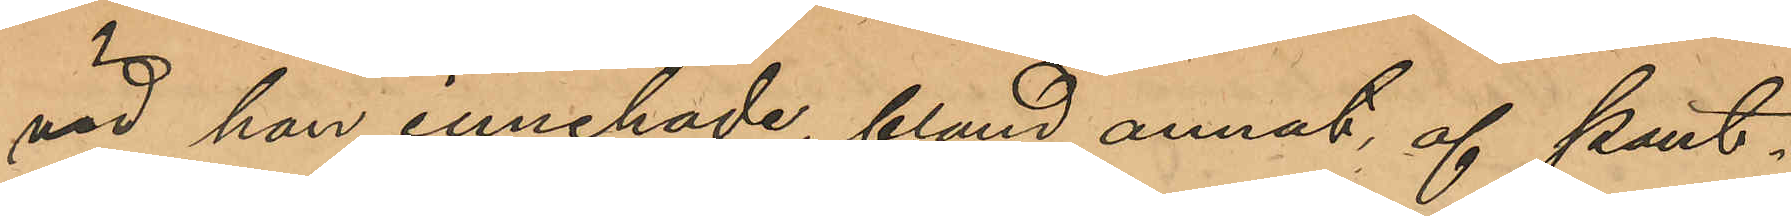vid han innehade, bland annat af Pant¬
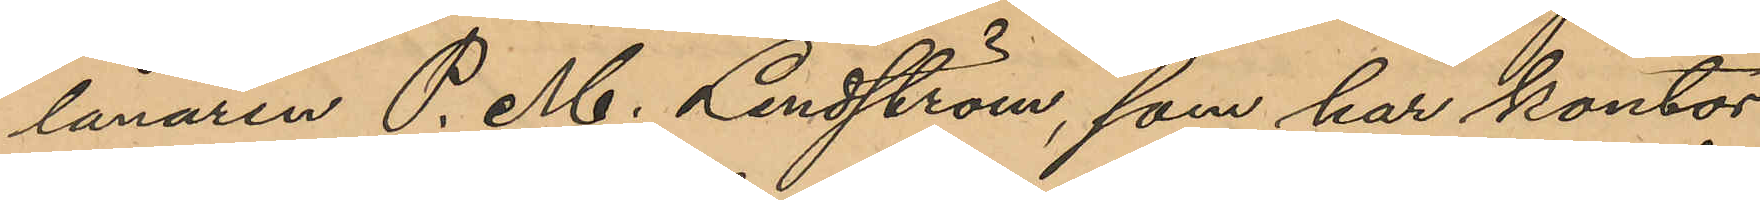lånaren P. M. Lindström, som har kontor
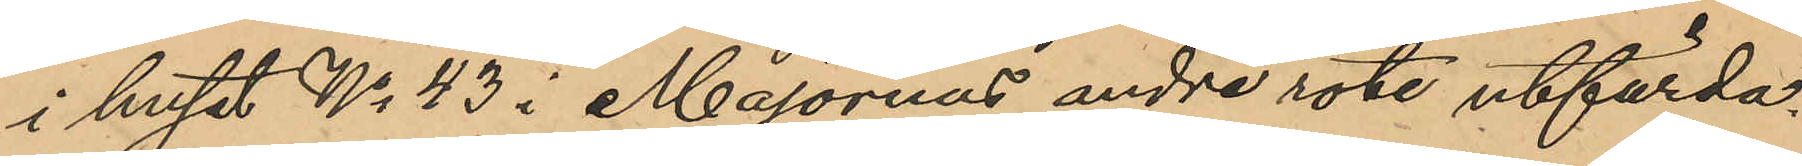i huset No 43 i Majornas andre rote utfärda¬
